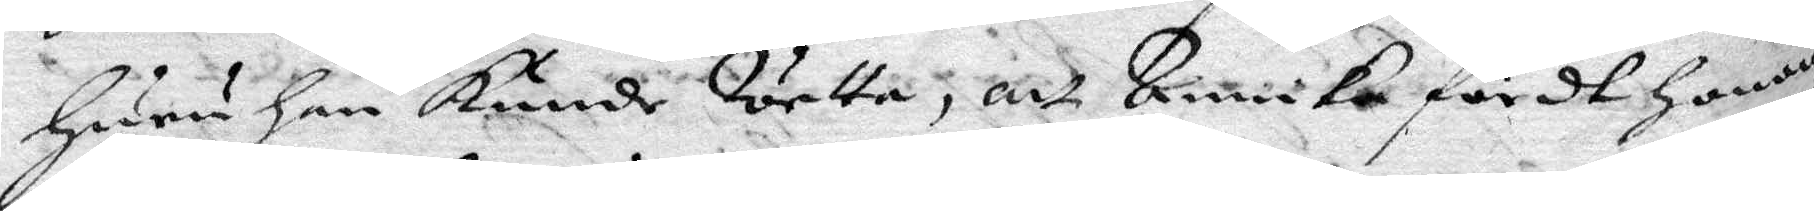huru han kunde Wetta, att Annika sördt honom
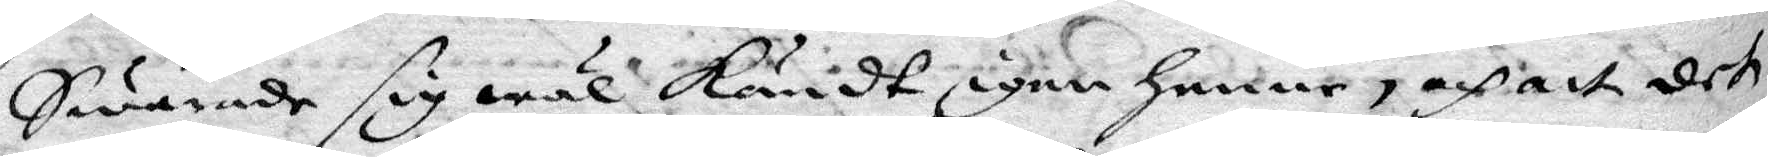Swarade sig wäl kändt igen henne, och att det
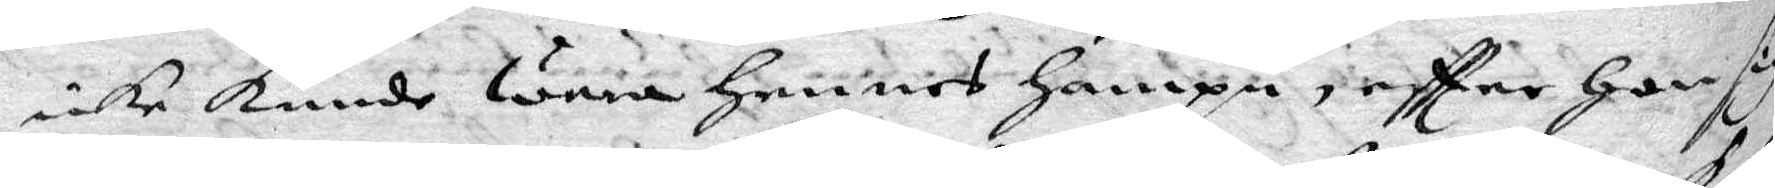icke kunde wara hennes hampn, eftter hon sig
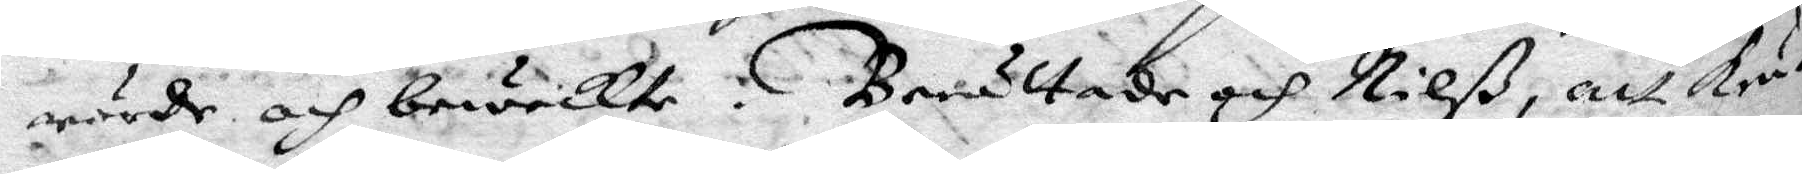rörde och beweckte. Berättade och Nilß, att kru¬
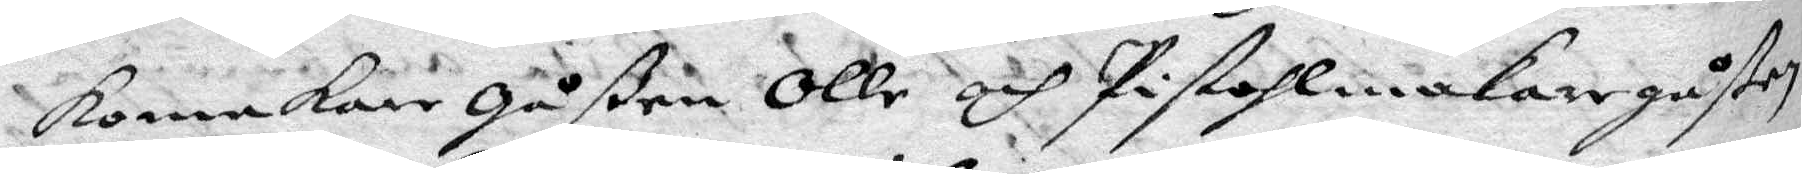komakare gåßen Olle och Pistolmakaregåßen
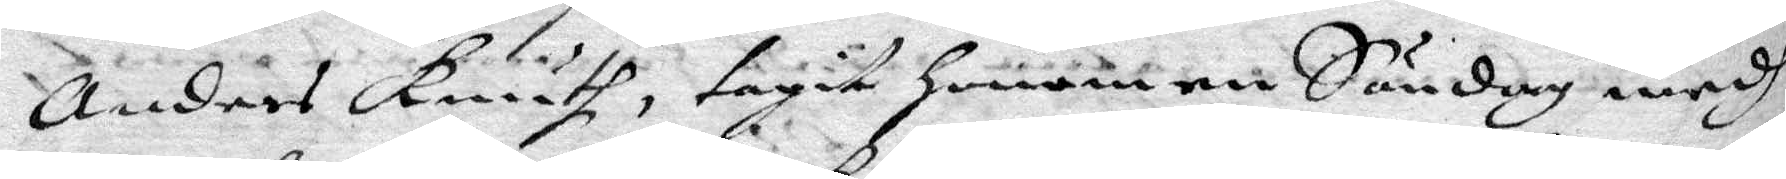Anders Knuth, tagit honom en Söndag medh
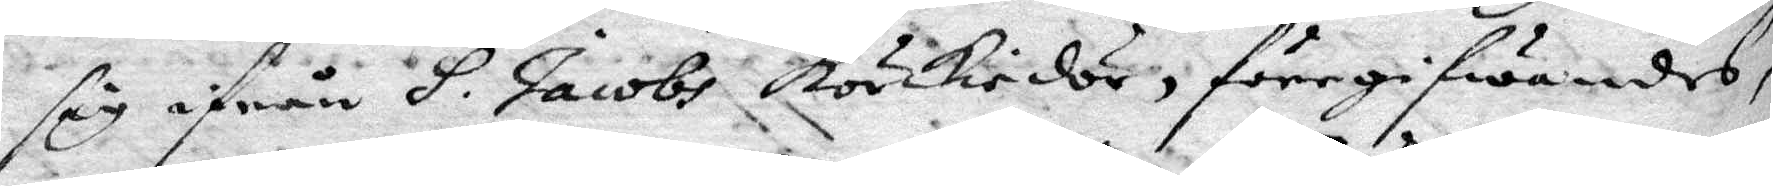sig ifrån S. Jacobs körckiedör, föregifwandes,
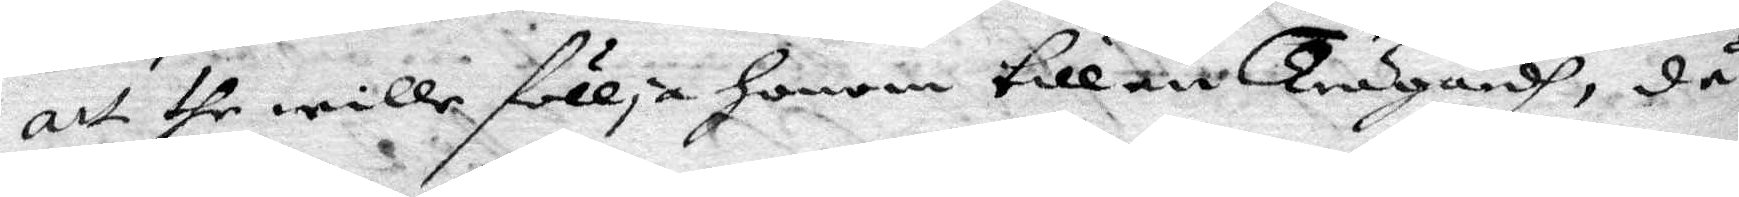att dhe wille föllja honom till en Trägårdh, då
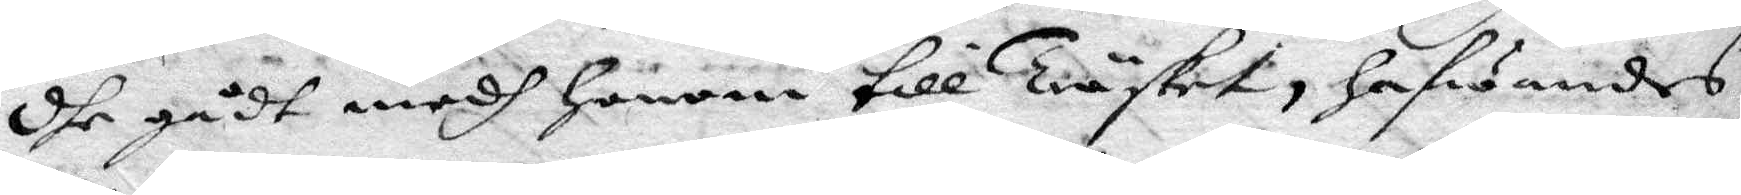dhe gådt medg honom till träsket, hafwandes
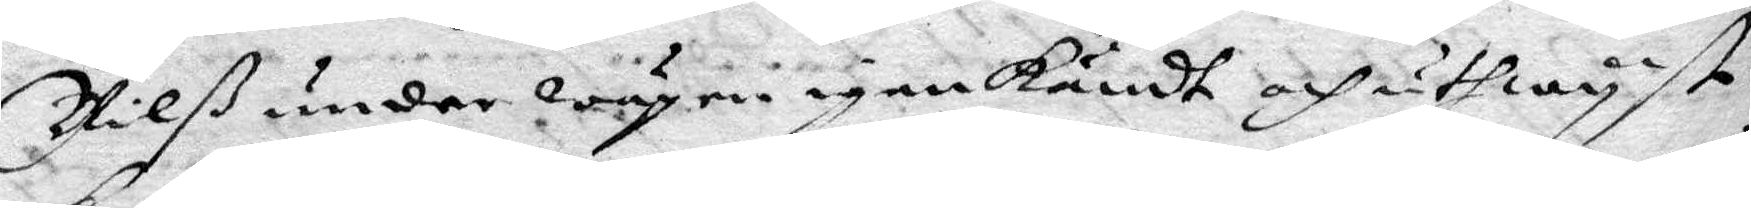Nilß under wägen igenkändt och uthwyst
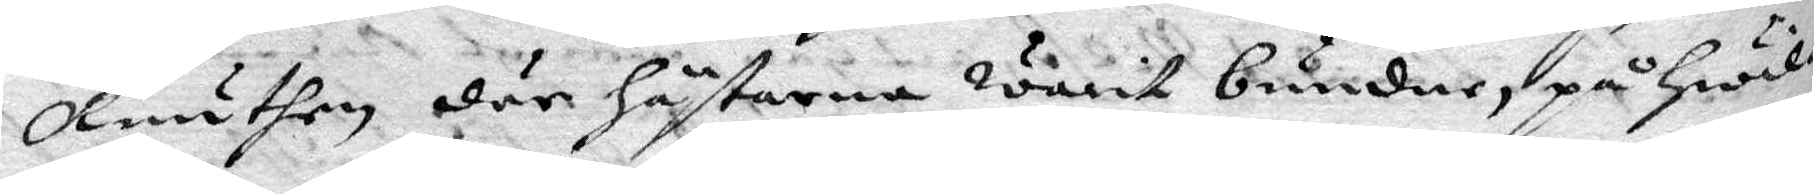knuthen där hästarna warit bundne, på hwil¬
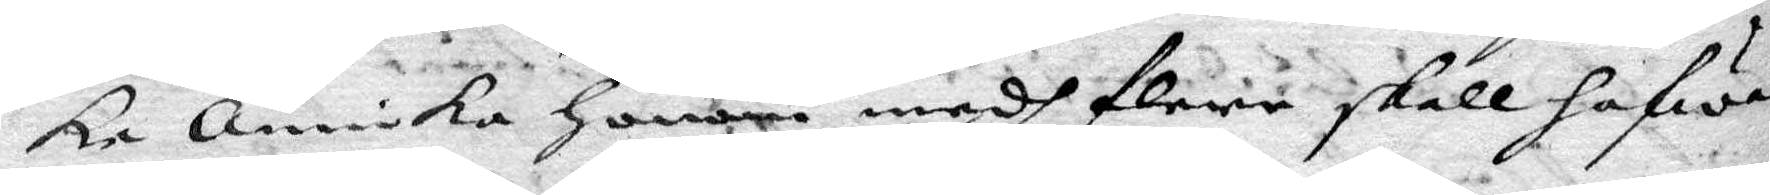ka annika honom medh flere skall hafwa
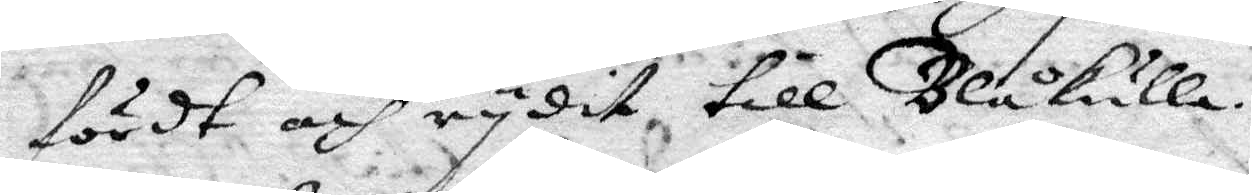först och rydit till Blåkulla.
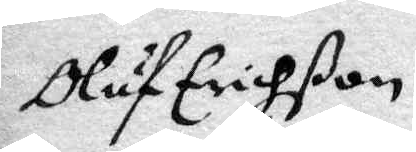Oluf Erichßon
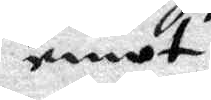emot
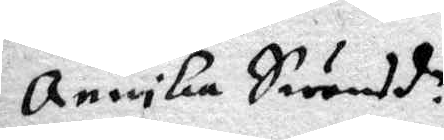annika Swensd.r
